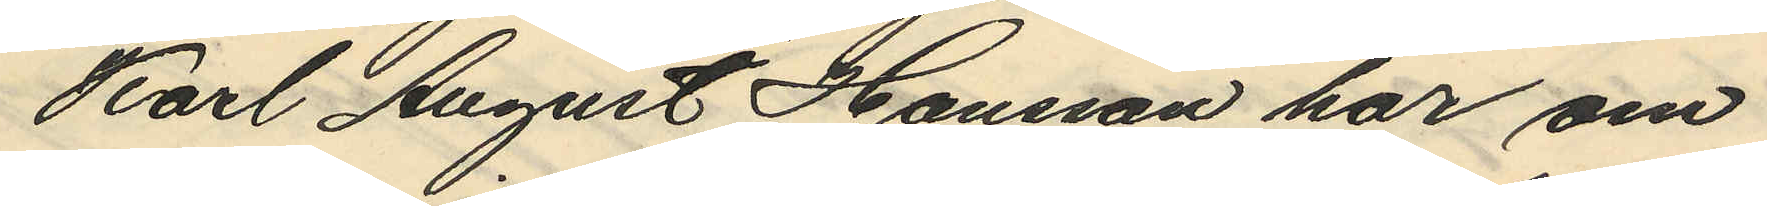Karl August Hansson har om
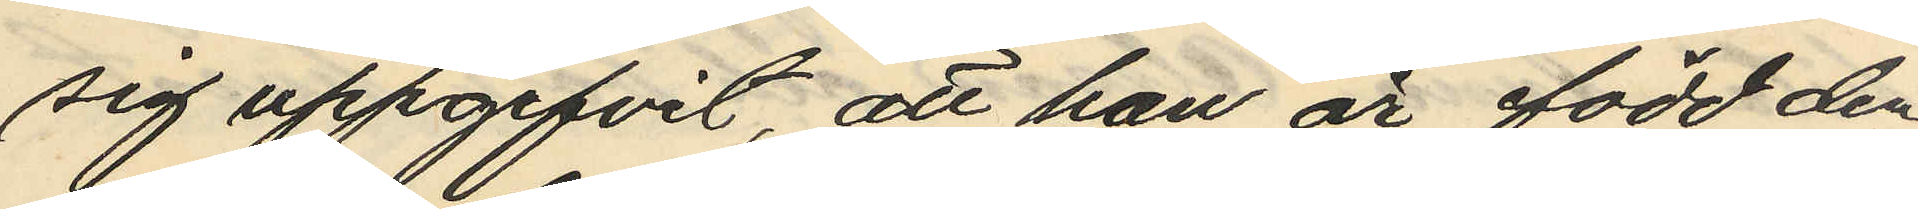sig uppgifvit, att han är född den
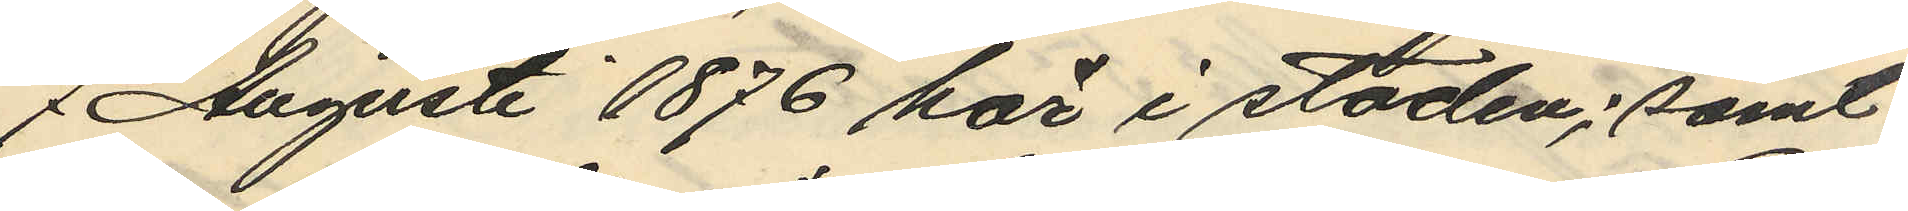7 Augusti 1876 här i staden; samt
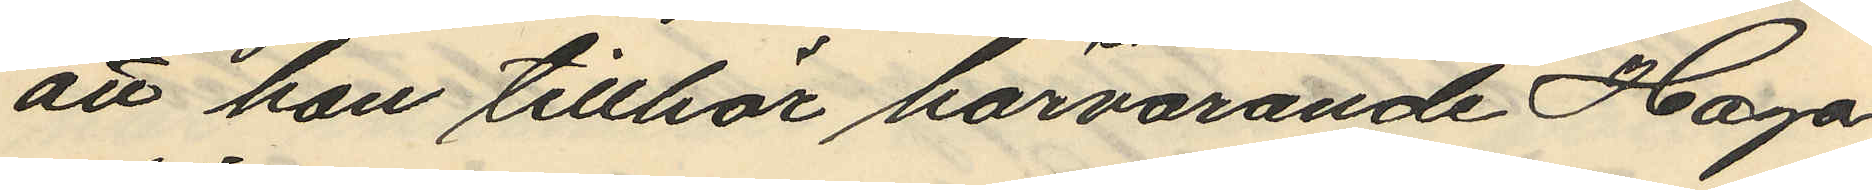att han tillhör härvarande Haga
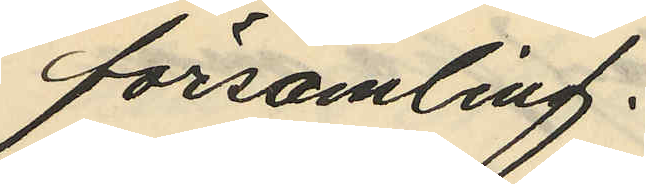församling.
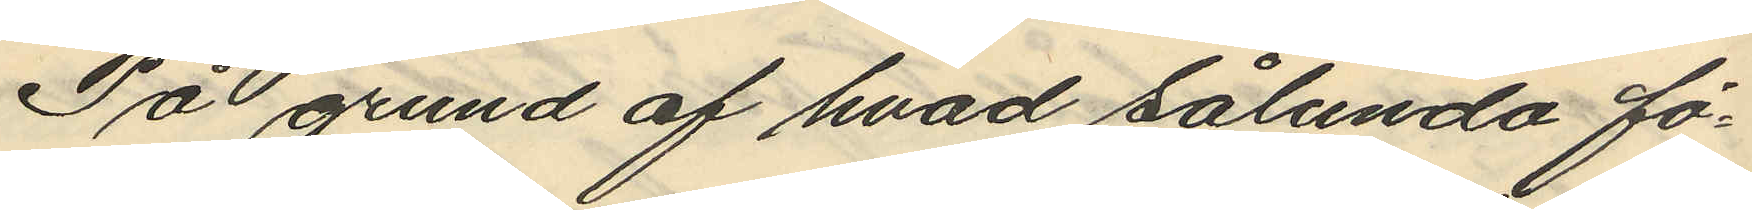På grund af hvad sålunda fö¬
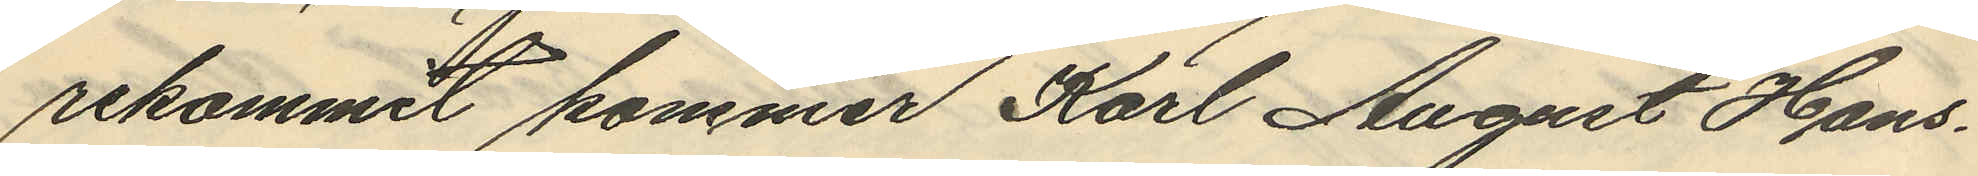rekommit kommer Karl August Hans¬
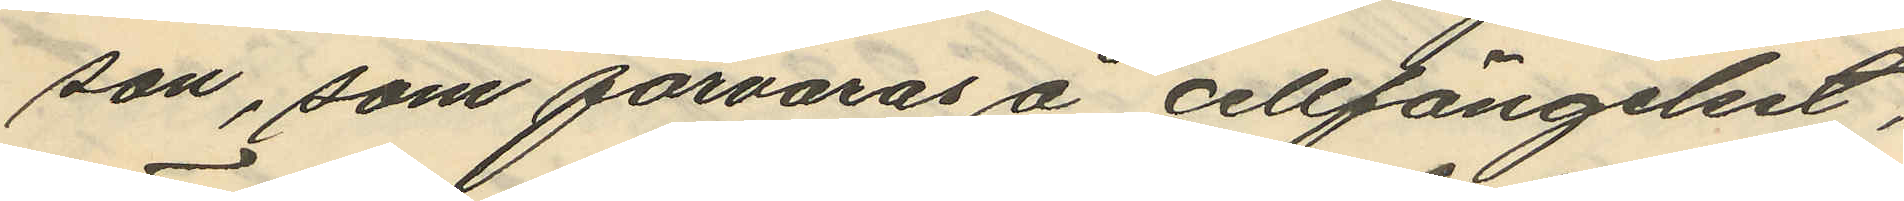son, som förvaras å cellfängelset,
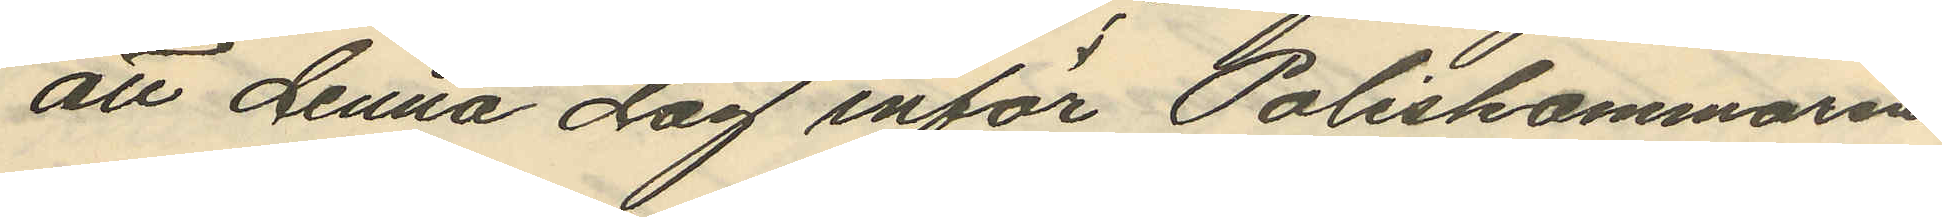att denna dag inför Poliskammaren
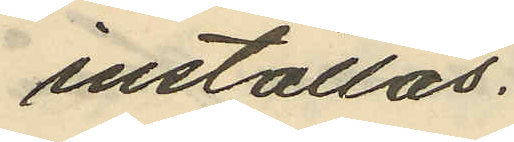inställas.
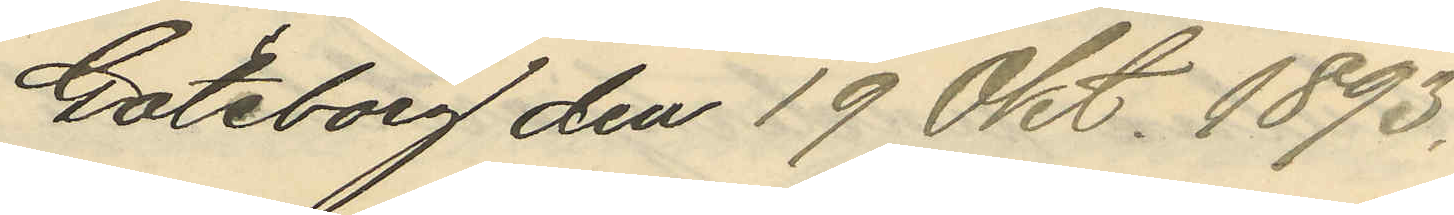Göteborg den 19 Okt. 1893.
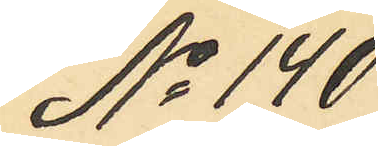No 140
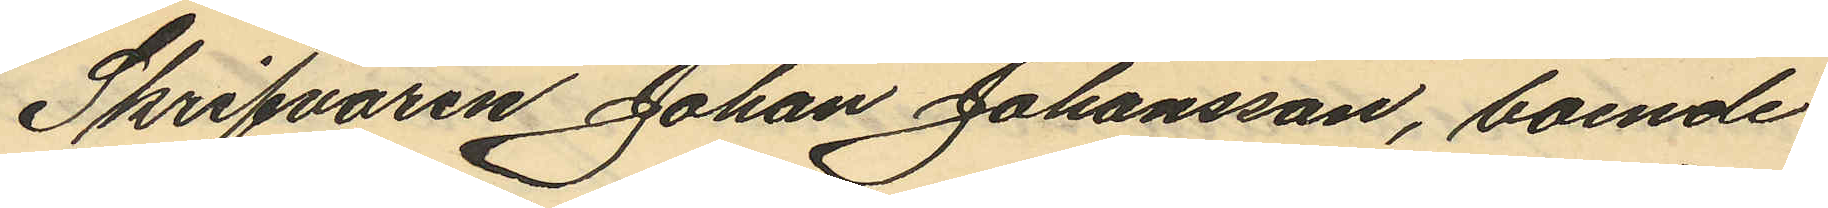Skrifvaren Johan Johansson, boende
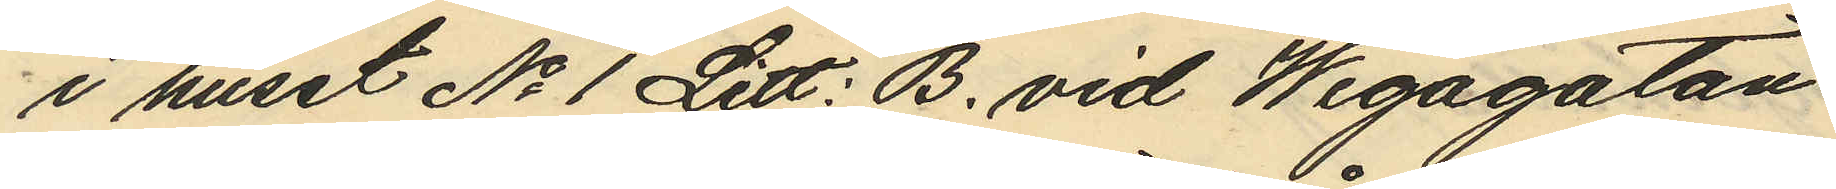i huset No 1 Litt: B. vid Wegagatan
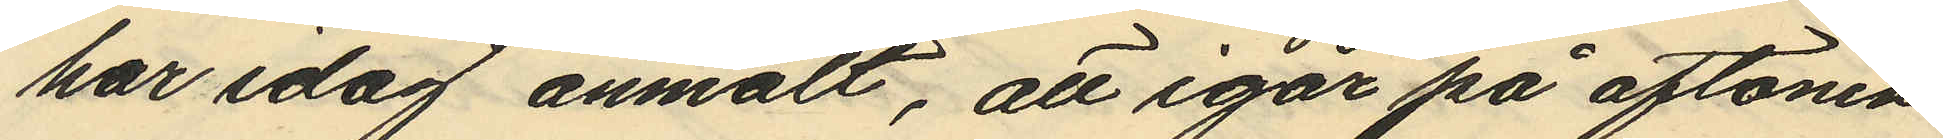har idag anmält, att igår på aftonen
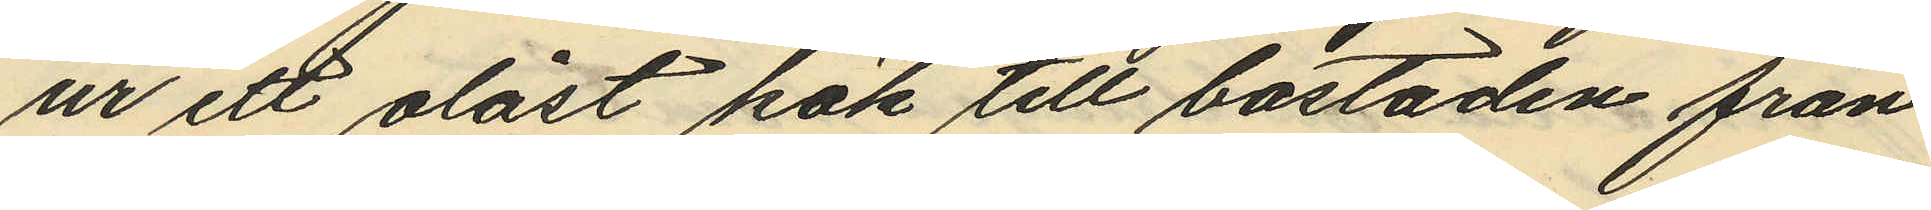ur ett olåst kök till bostaden från
